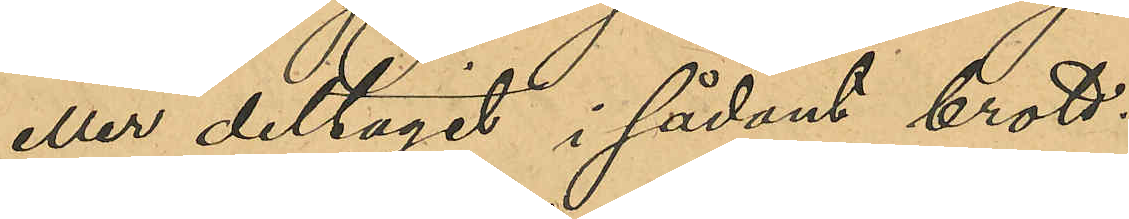eller deltagit i sådant brott.
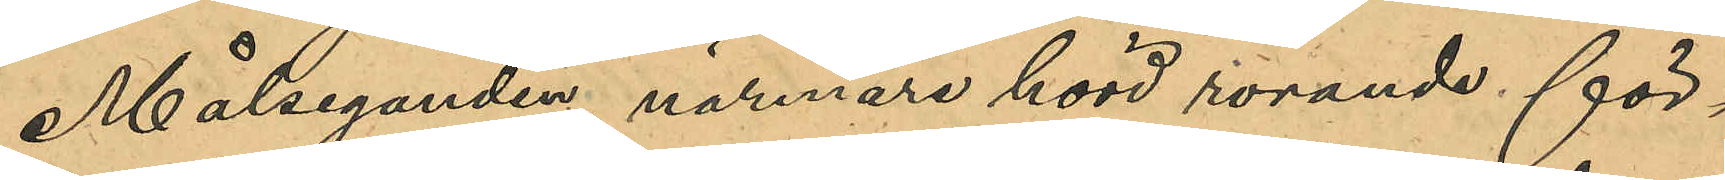Målseganden, närmare hörd rörande för¬
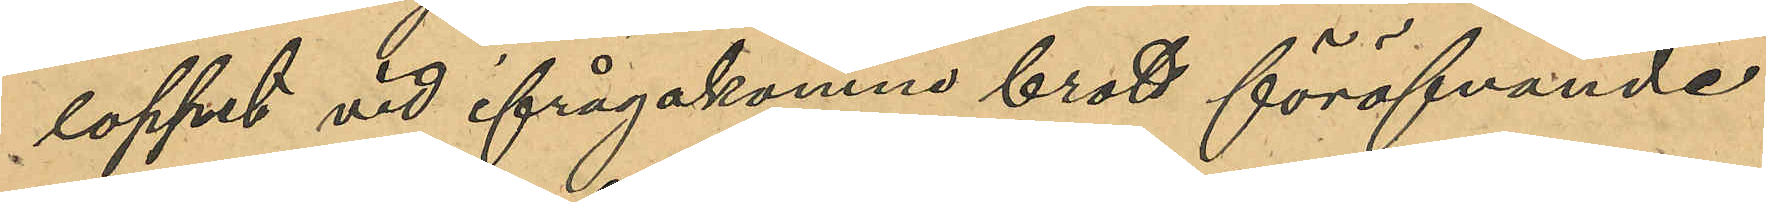loppet vid ifrågakomne brots föröfvande
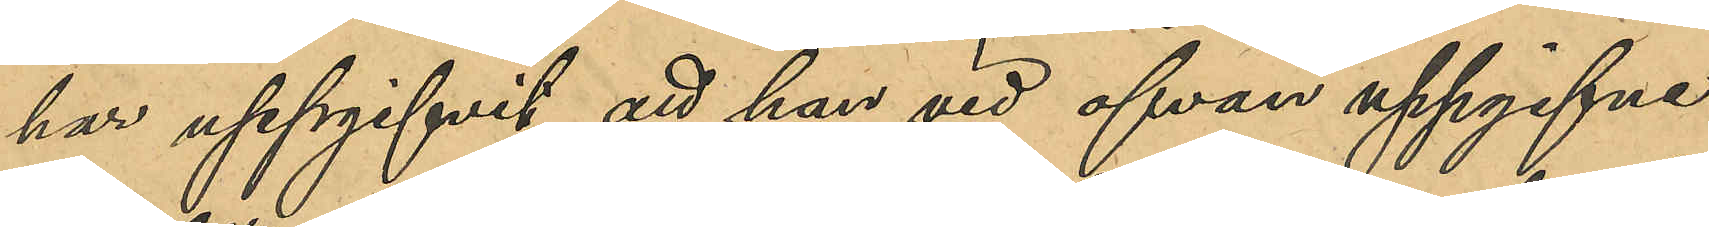har uppgifvit att han vid ofvan uppgifne
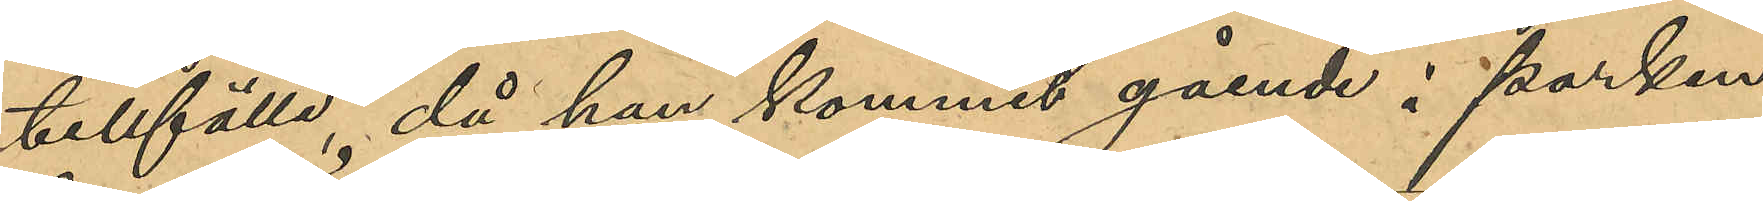tillfälle, då han kommit gående i parken
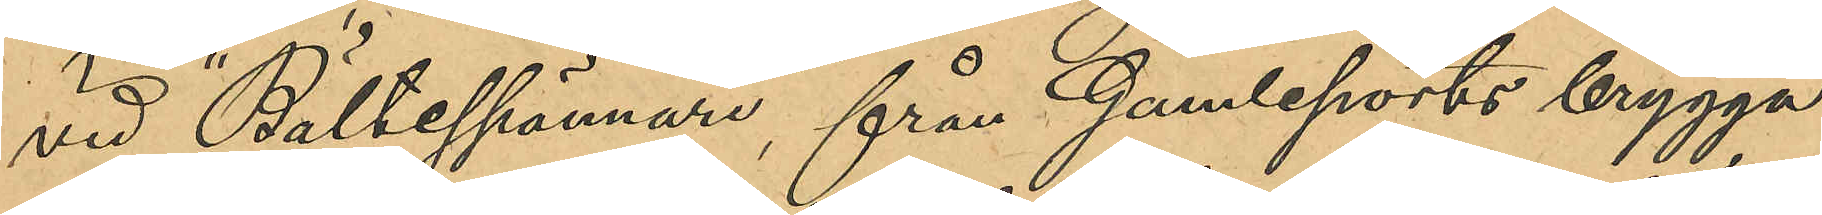vid "Bältesspännare", från Gamleports brygga
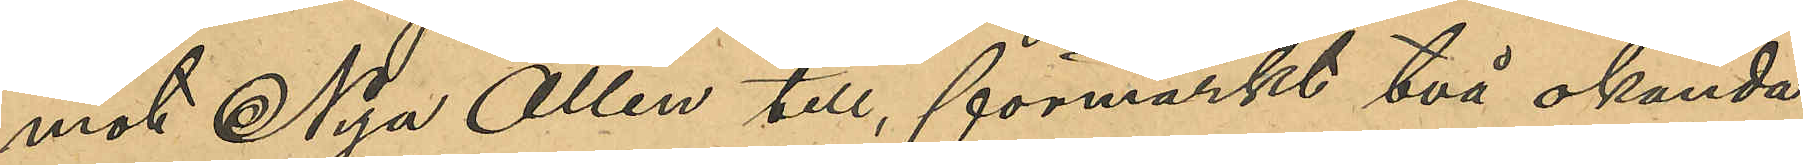mot Nya Allén till, förmärkt två okända
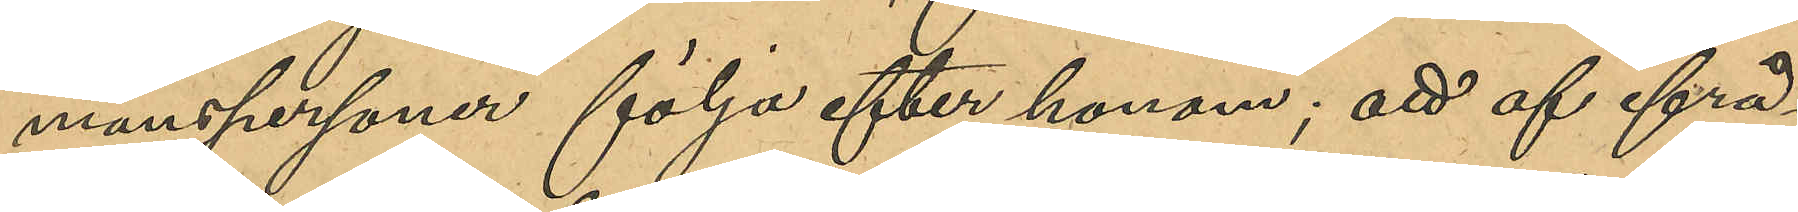manspersoner följa efter honom; att af ifrå¬
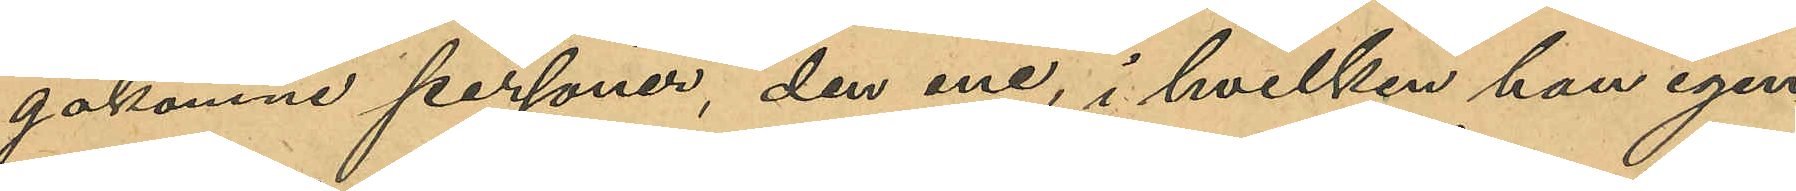gakomne personer, den ene, i hvilken han igen¬
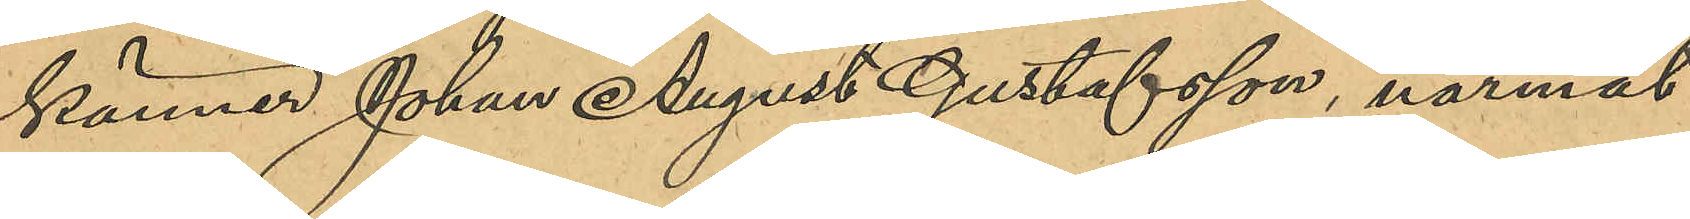kände Johan August Gustafsson, närmat 
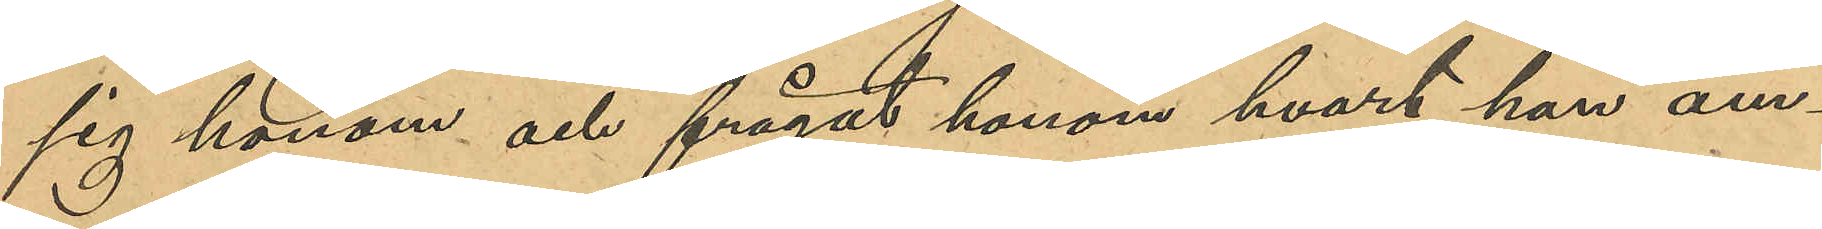sig honom och frågat honom hvart han äm¬
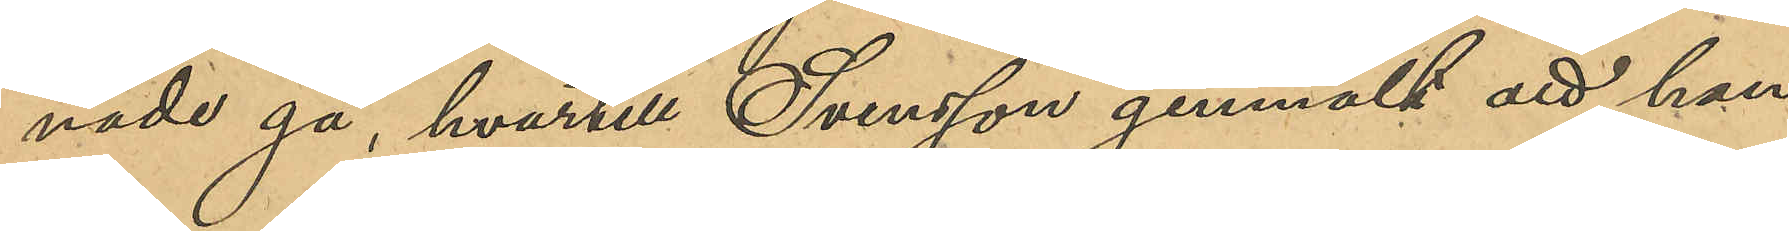nade gå, hvartill Svensson genmält att han
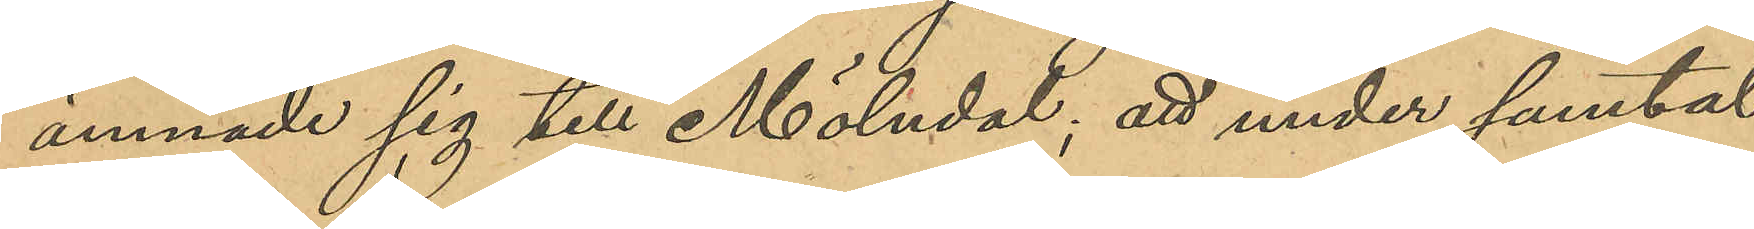ämnade sig till Mölndal; att han under samtal
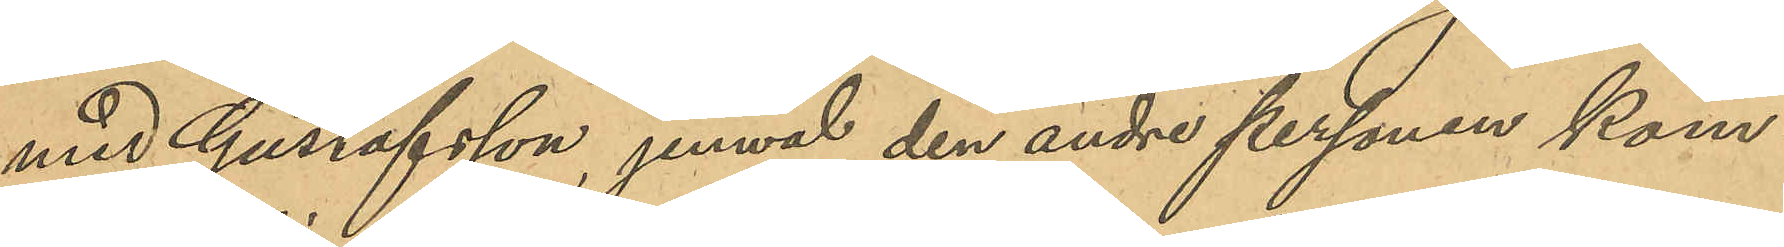med Gustafsson, jemväl den andre personen kom¬
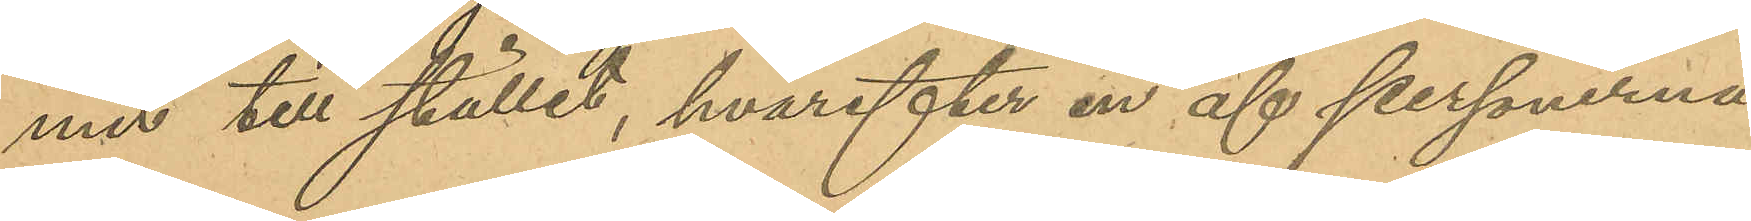mit till stället, hvartefter en af personerna
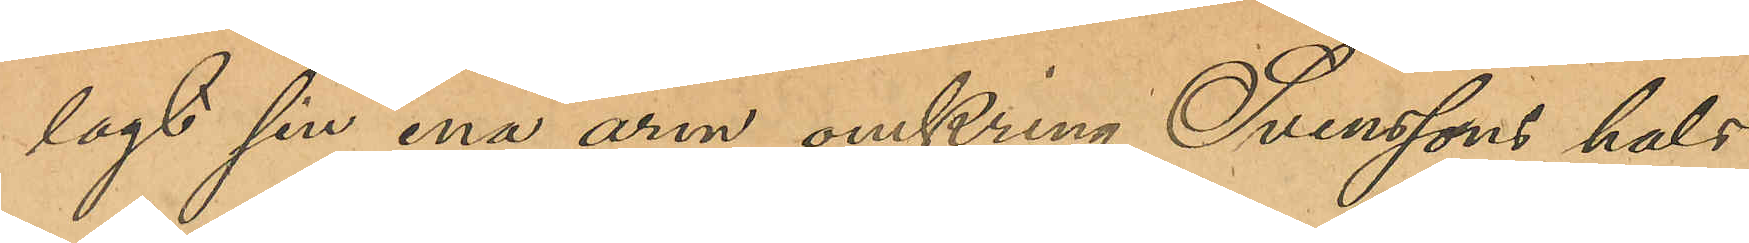lagt sin ena arm omkring Svenssons hals
